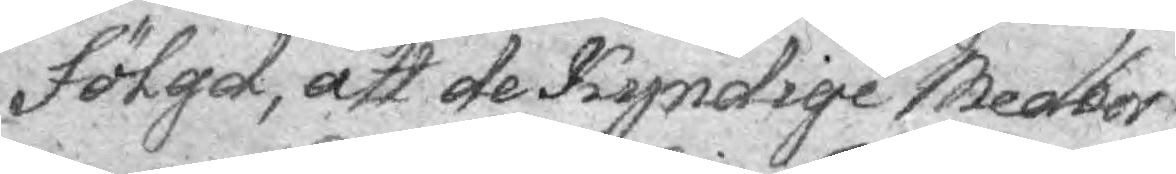fölgd, att de Kyndige Medbor¬
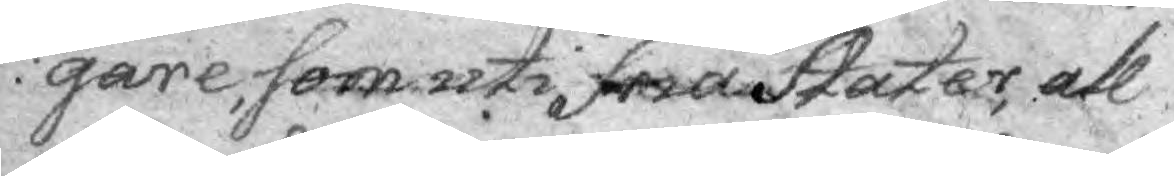gare, som uti fria Stater all¬
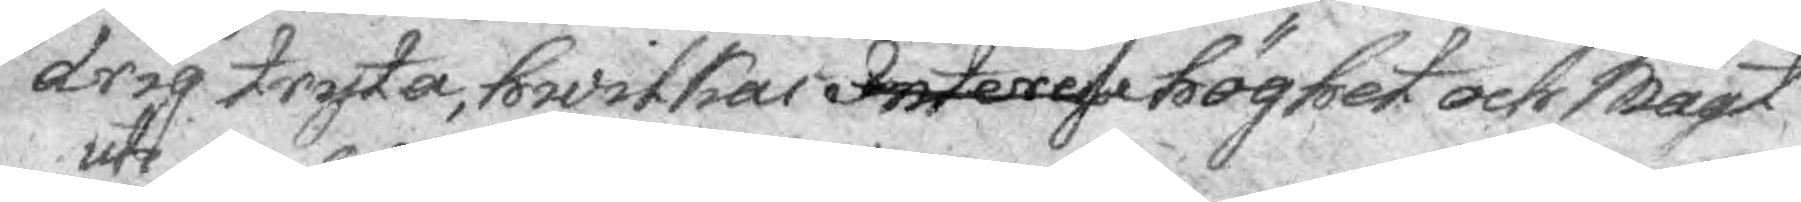arig tryta, hwilkas Interesse höghet och Magt
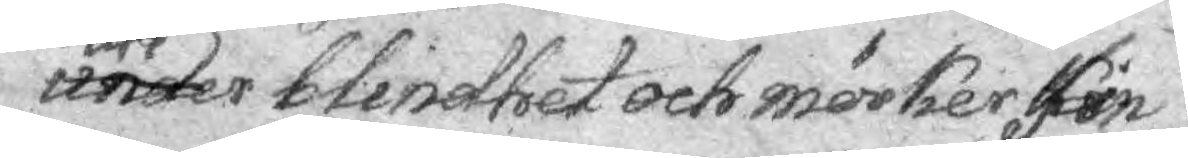under uti blindhet och mörker fin¬
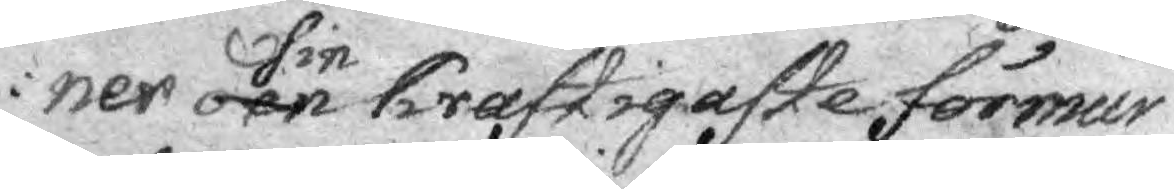ner örn sin kraftigaste förmur
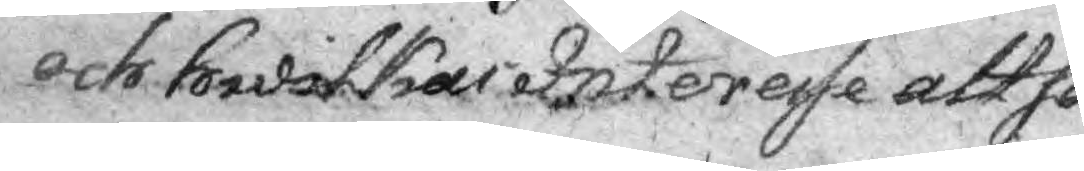och hwilkas Interesse altså
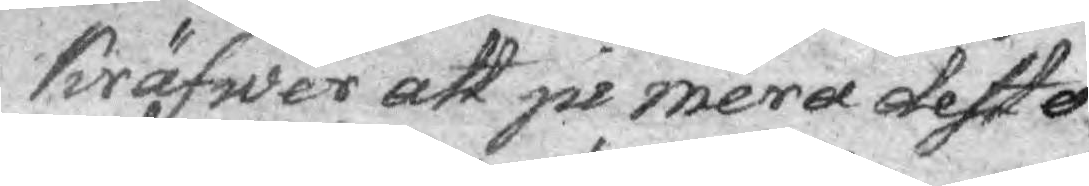kräfwer att ju mera desto
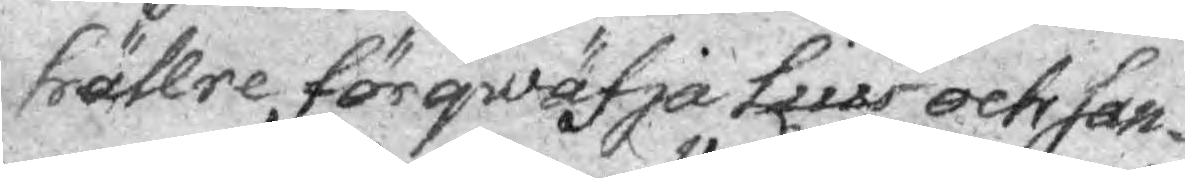hällre förqwäfja lius octi san¬
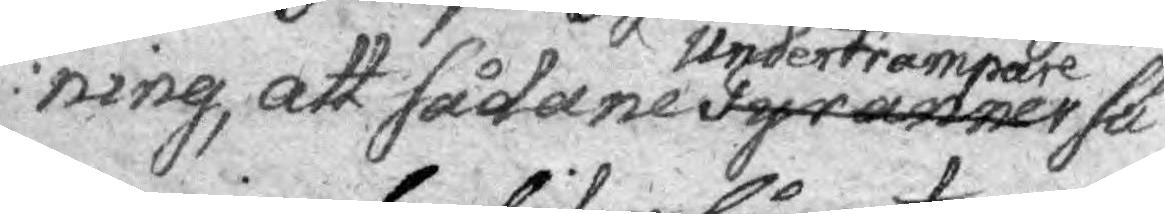ning, att sådane tyranner undertrampare sä¬
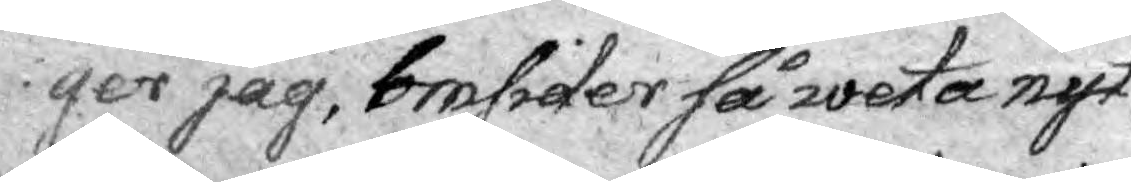ger jag, omsider så weta nyt¬
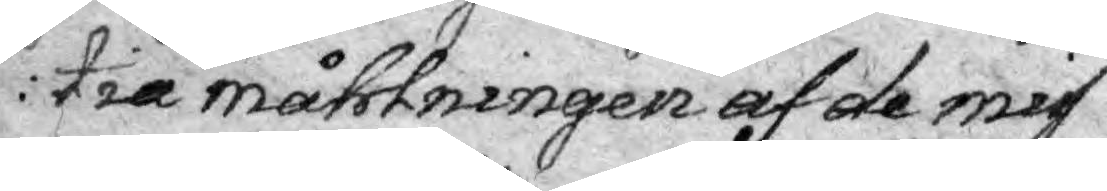tia måhlningen af de mis¬
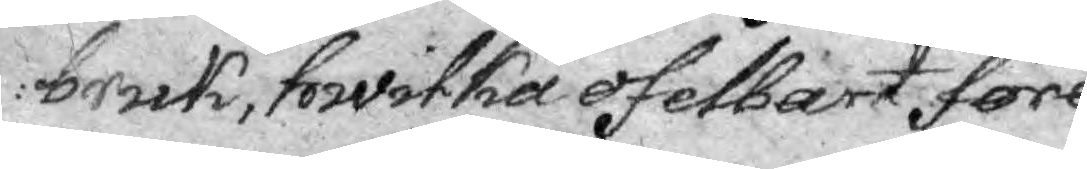bruk, hwilka ofelbart före¬
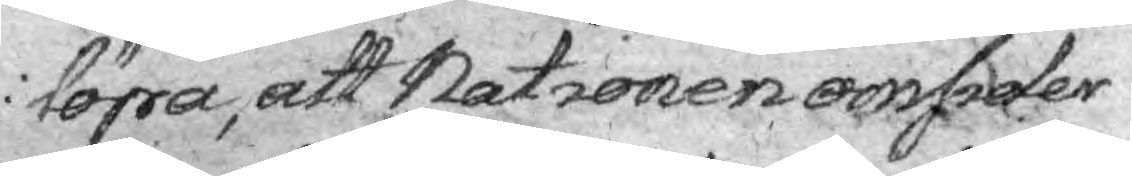löpa, att Nationen omsider
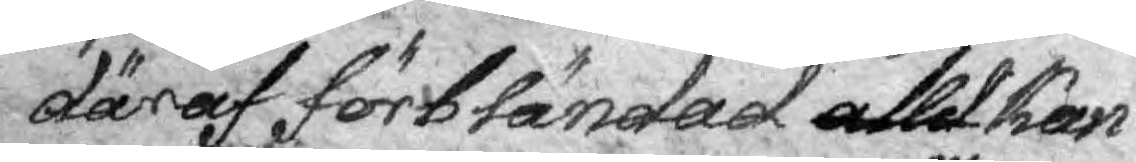däraf förbländad alld kan—
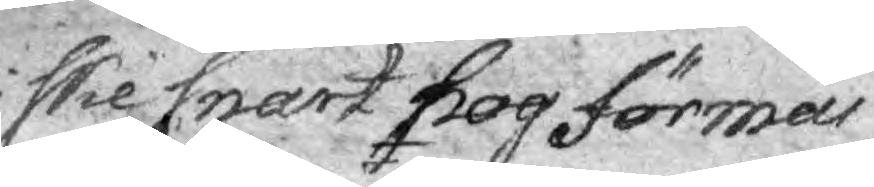ske snart nog förmår 
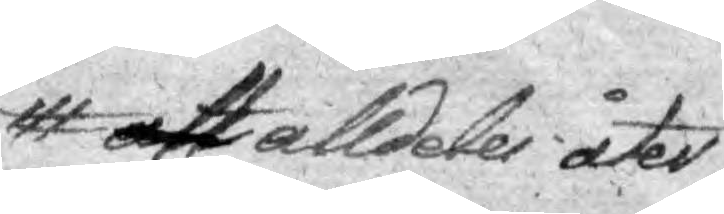att alldeles åter
